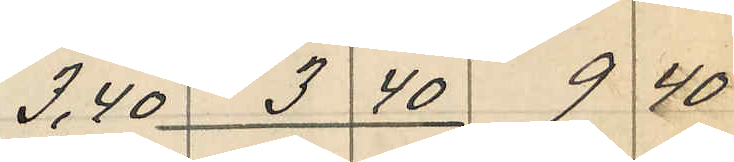3,40 3 40 9 40
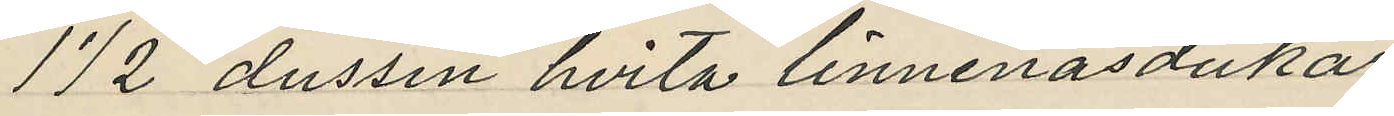172 dussin hvita linnenäsdukar
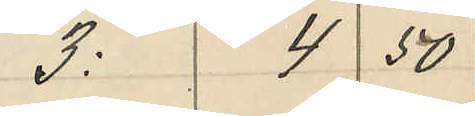3 4 50
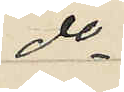do
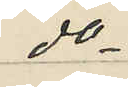do
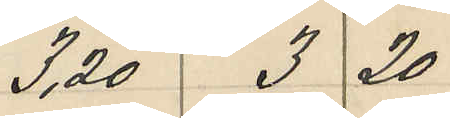3,20 3 20
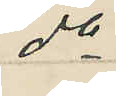do
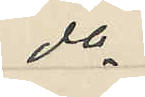do
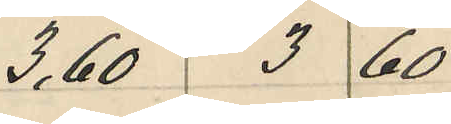3,60 3 60
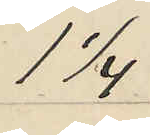1 1/4
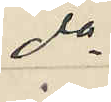do
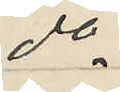do
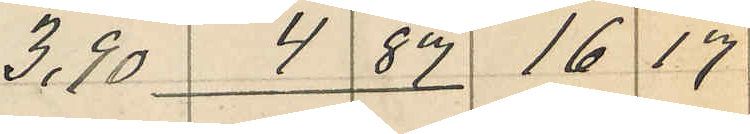3,90 4 87 16 17
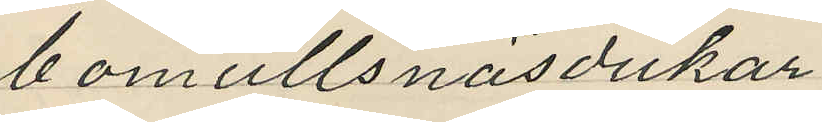bomullsnäsdukar
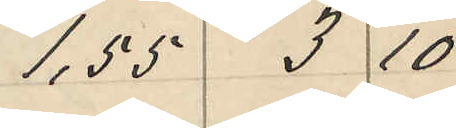1,55 3 10
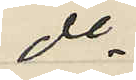do
